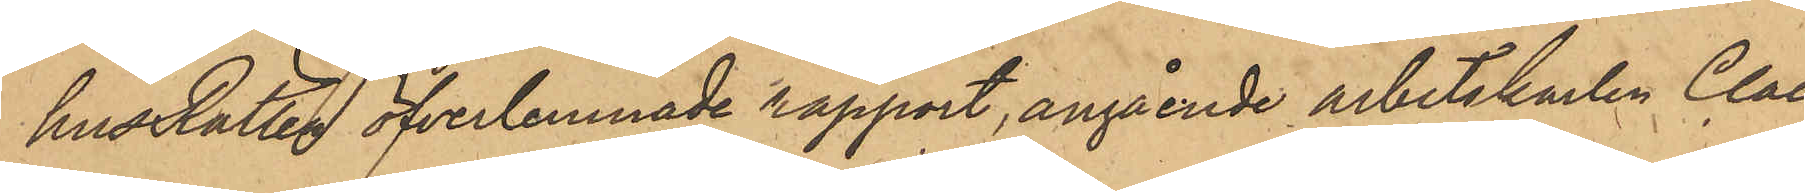husRätten öfverlemnade rapport, angående arbetskarlen Claes
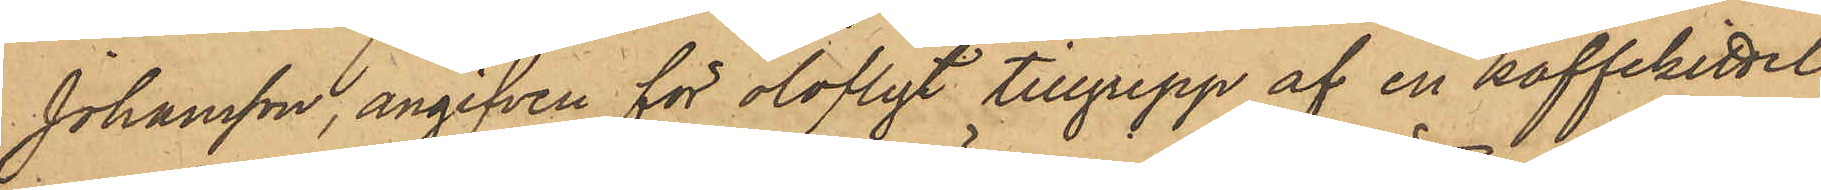Johansson, angifven för olofligt tillgrepp af en kaffekittel,
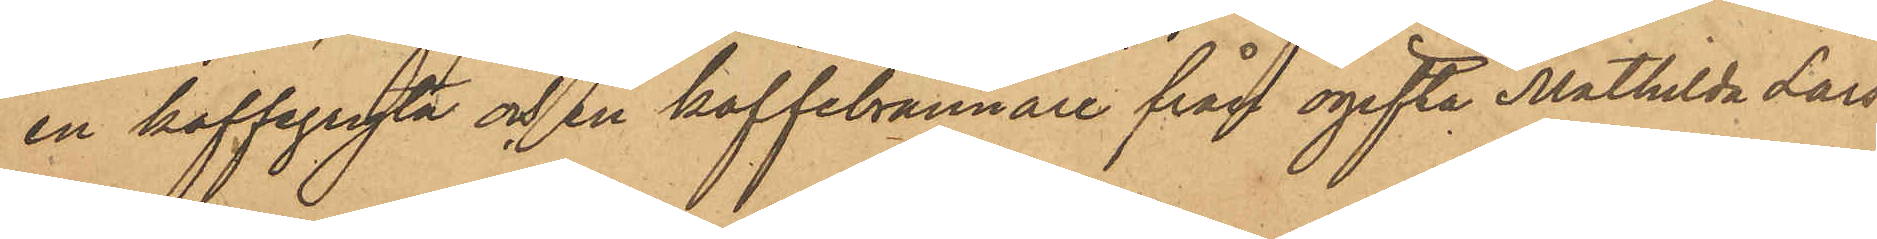en kaffegryta och en kaffebrännare från ogifta Mathilda Lars¬
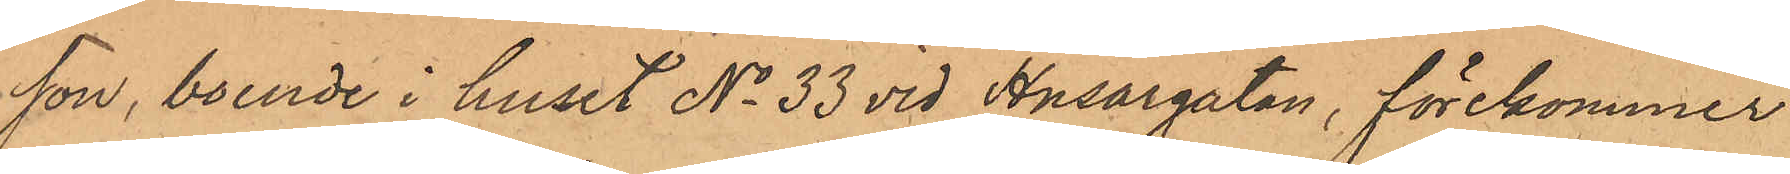son, boende i huset No 33 vid Husargatan, förekommer
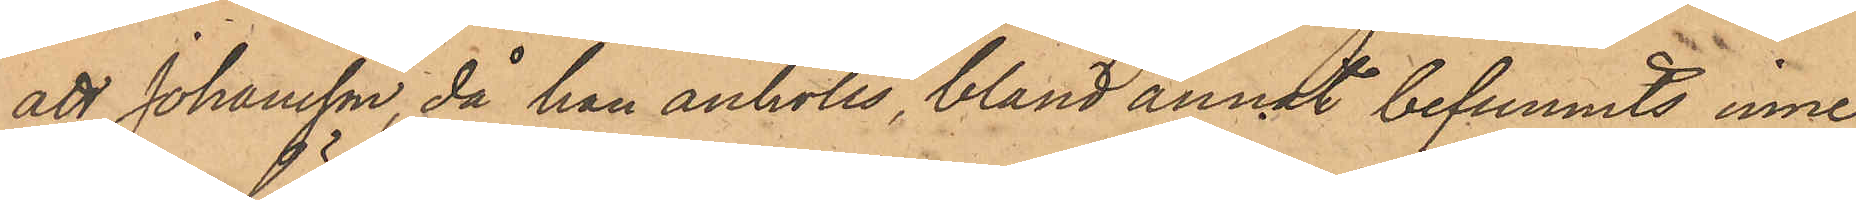att Johansson, då han anhölls bland annat befunnits inne¬
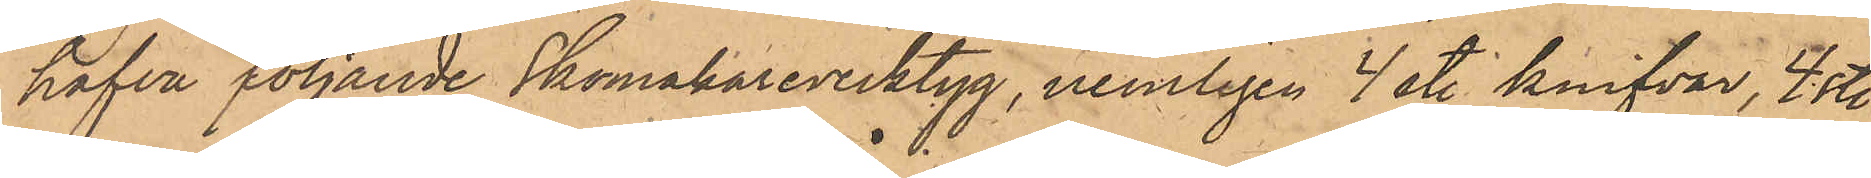hafva följande Skomakareverktyg, nemligen 4 st. knifvar, 4 st.
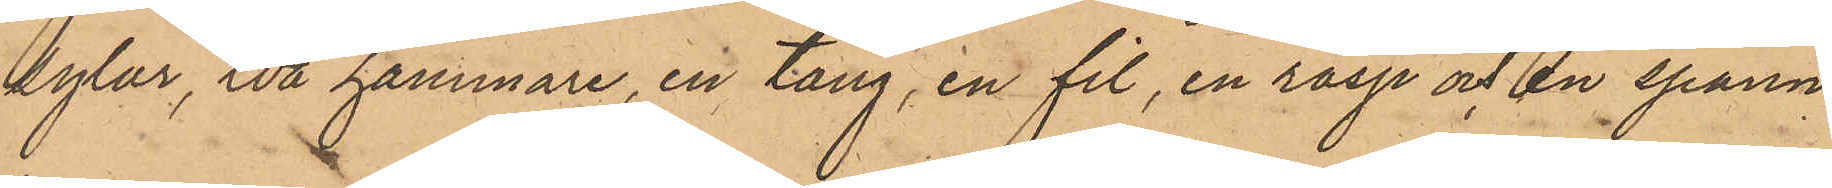sylar, två hammare, en tång, en fil, en rasp och en spann¬
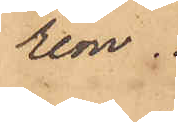rem.
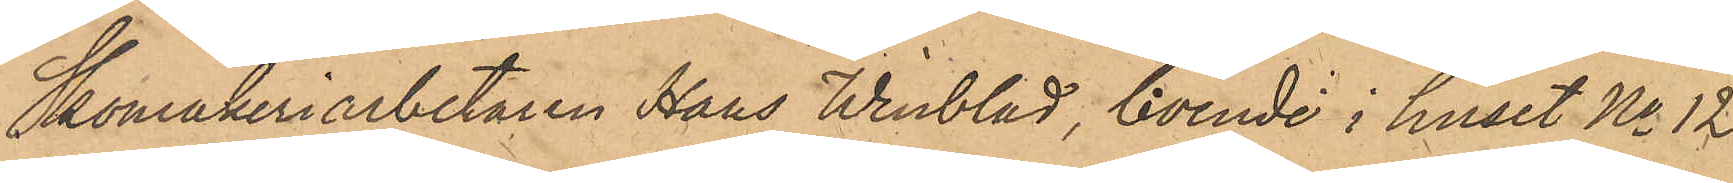Skomakeriarbetaren Hans Winblad, boende i huset No 12
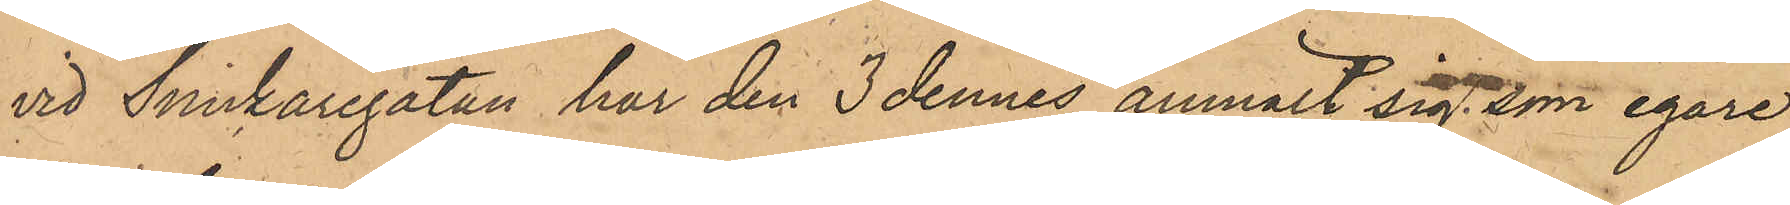vid Snickaregatan har den 3 dennes anmält sig som egare
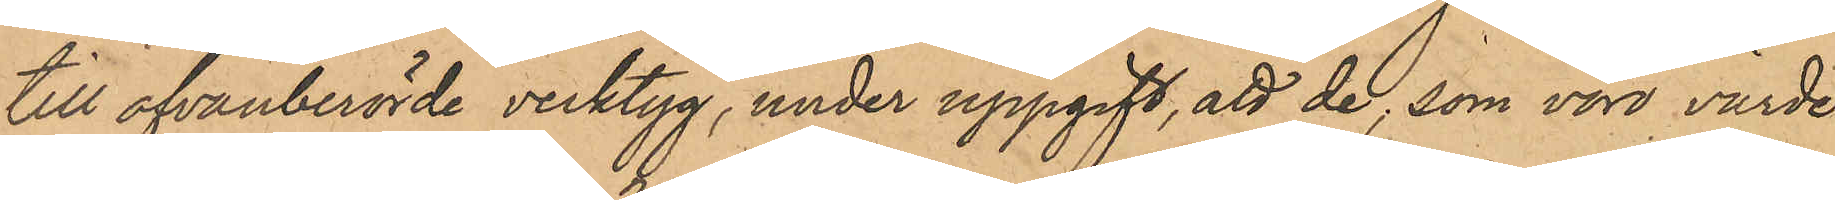till ofvanberörde verktyg, under uppgift, att de, som voro värde
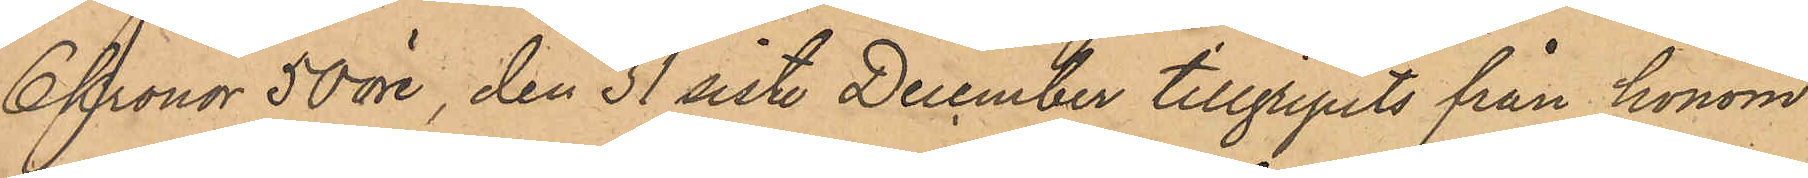6 Kronor 50 öre, den 31 sist. December tillgripits från honom
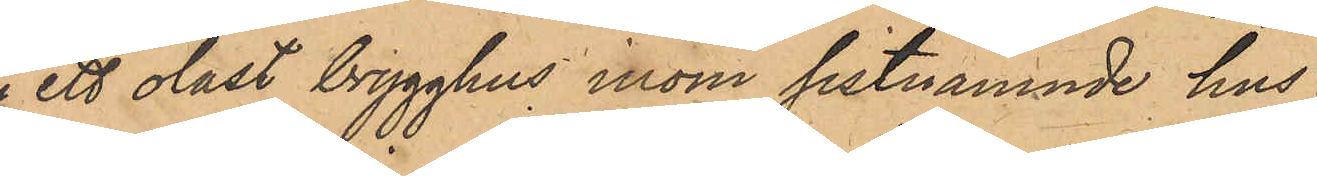i ett olåst brygghus inom sistnämnde hus.
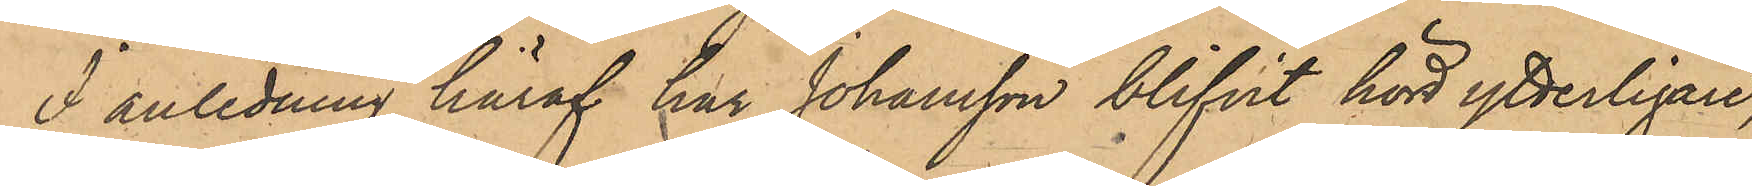I anledning häraf har Johansson blifvit hörd ytterligare,
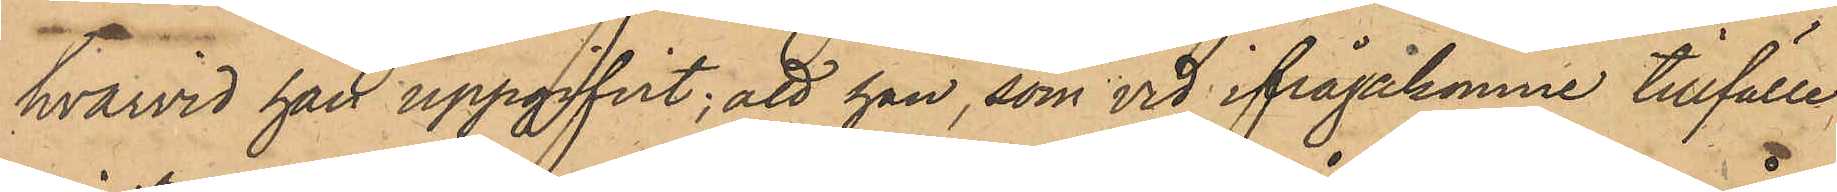hvarvid han uppgifvit; att han, som vid ifrågakomne tillfälle
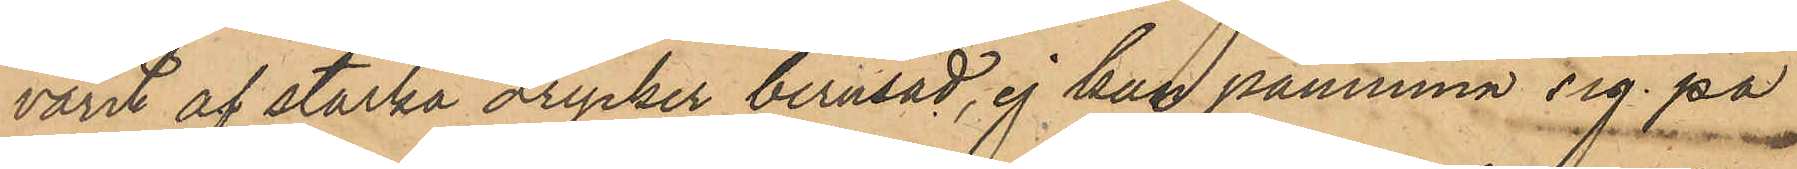varit af starka drycker berusad, ej kan påminna sig på
